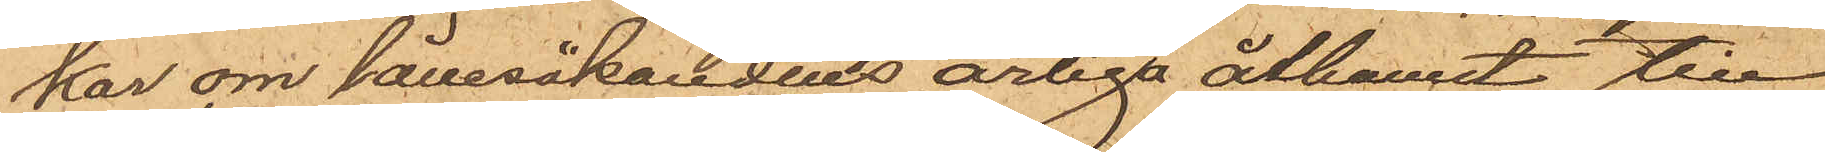kar om lånesökandens ärliga åtkomst till
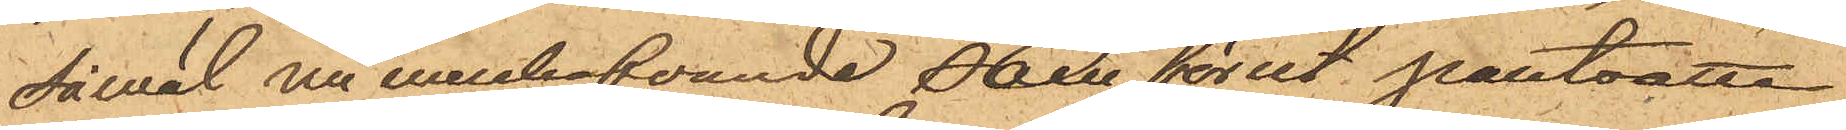såväl nu innehafvande som förut pantsatte
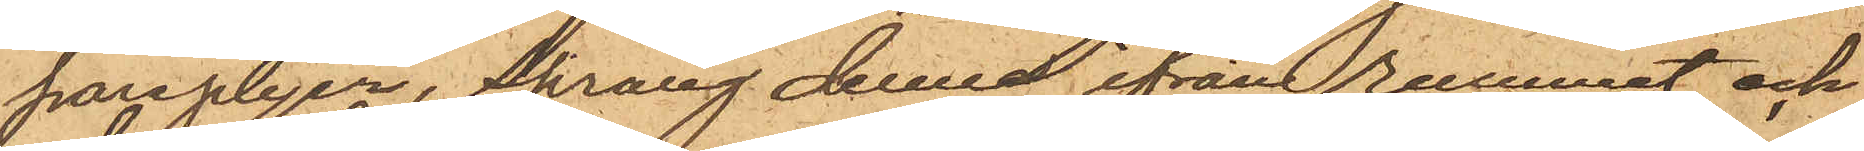paraplyer, sprang denne ifrån rummet och
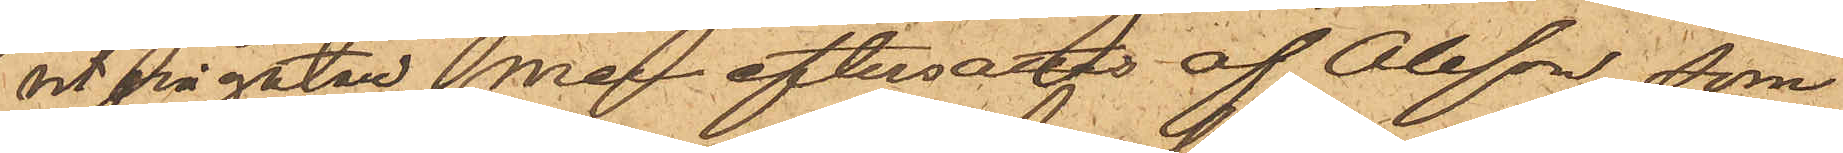ut på gatan, men eftersattes af Olsson, som
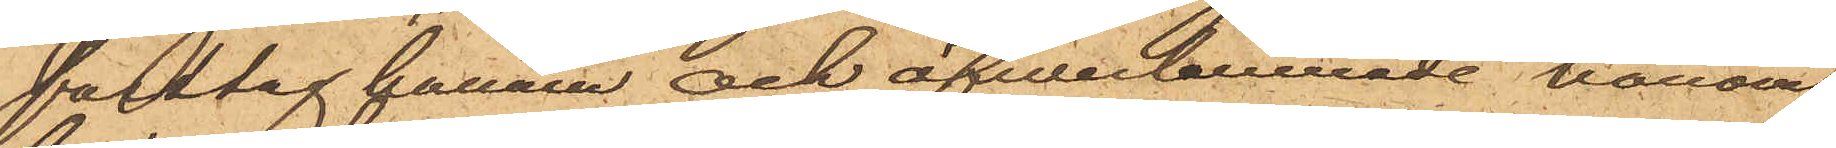fasttog  honom och öfverlemnade honom
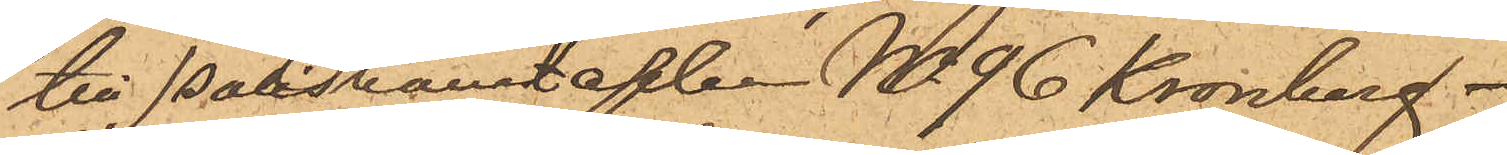till Poliskonstapeln No 96 Kronberg.
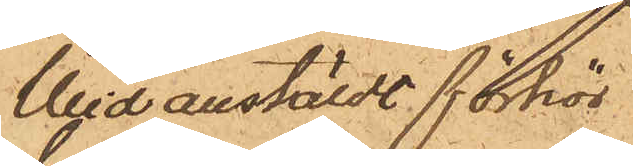Wid anstäldt förhör
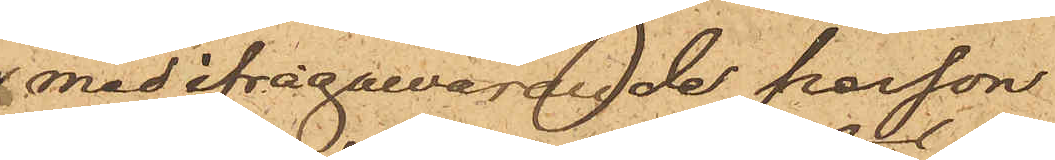med ifrågavarade person
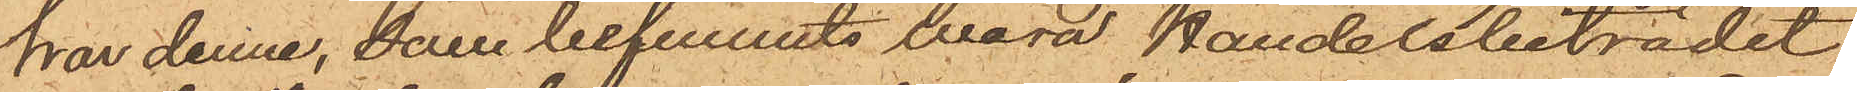har denne, som befunnits vara Handelsbiträdet
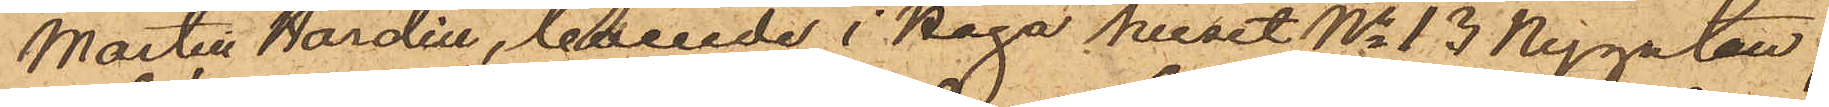Martin Nordin, boende i Haga huset No 13 Nygatan,
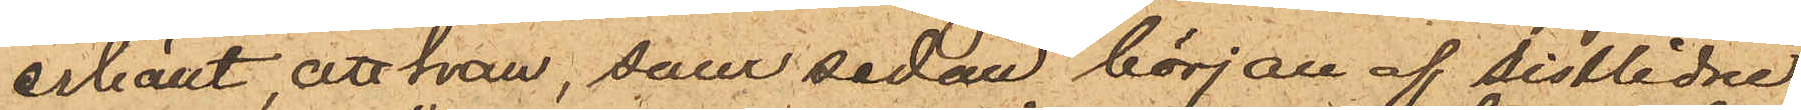erkänt, att han, som sedan början af sistlidne
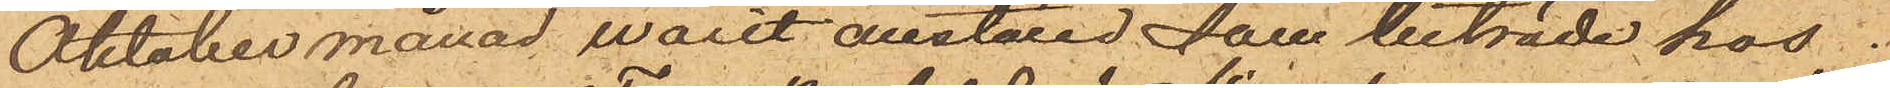Oktober månad warit anställd som biträde hos
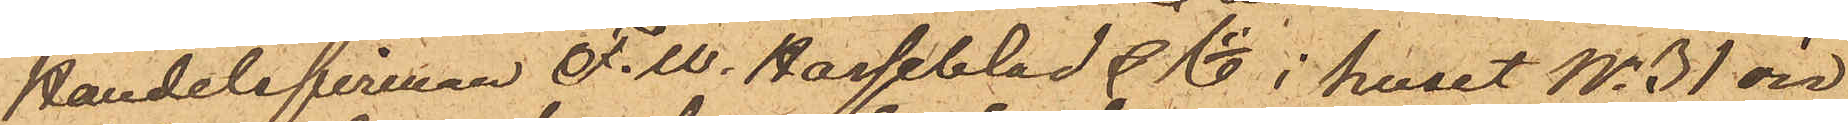Handelsfirman F.W. Hasselblad & Co i huset No 31 vid
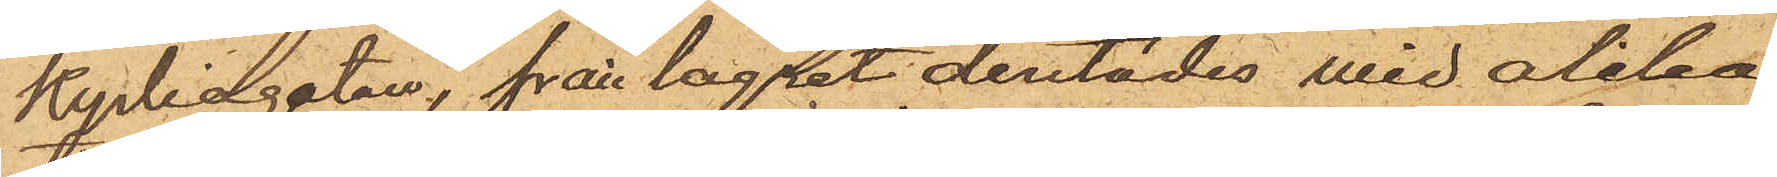Kyrkogatan, från lagret dertädes wid olika
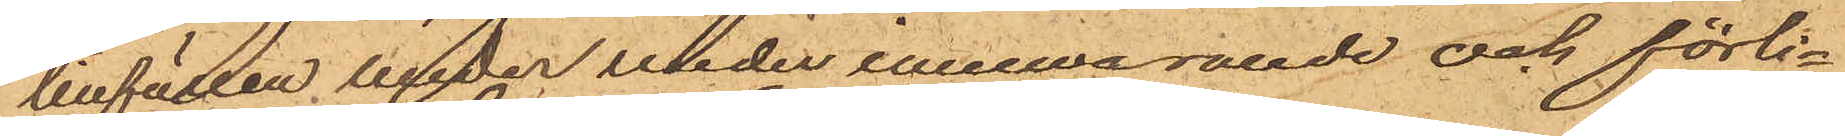tillfällen under innewarande och förli¬
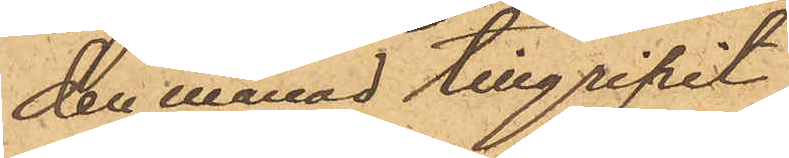den månad tillgripit
